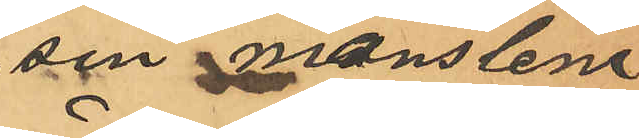sin manslem
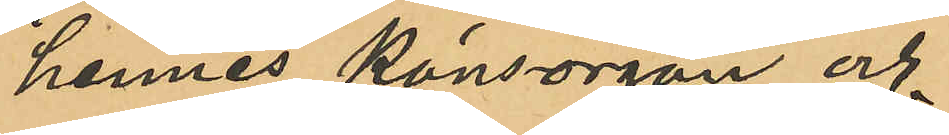i hennes könsorgan och
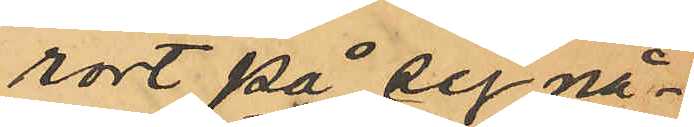rört på sig nå¬
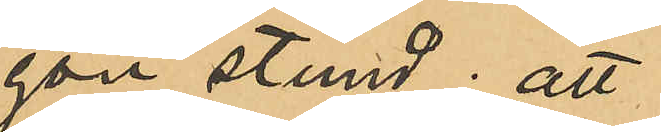gon stund; att
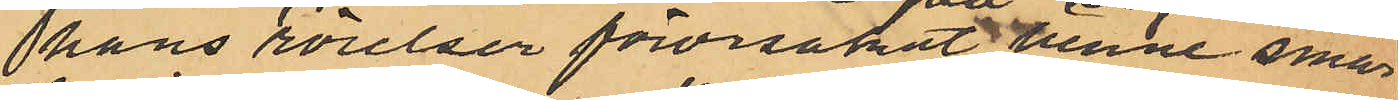hans rörelser förorsakat henne smär¬
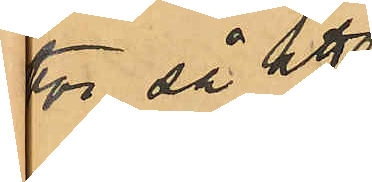tor så att
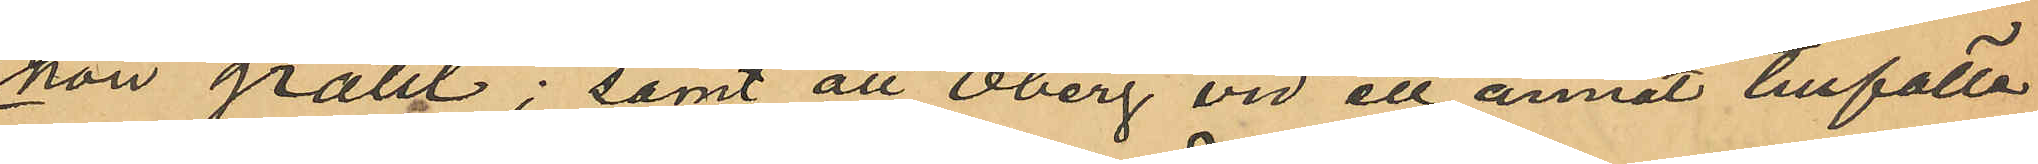hon gråtit; samt att Öberg vid ett annat tillfälle
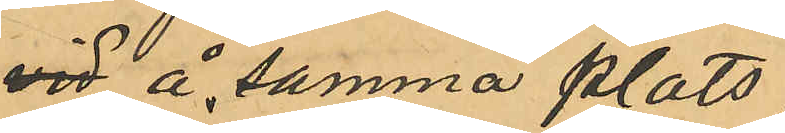vid å samma plats
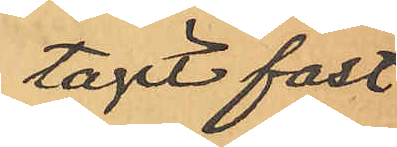tagit fast
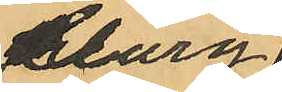Clary
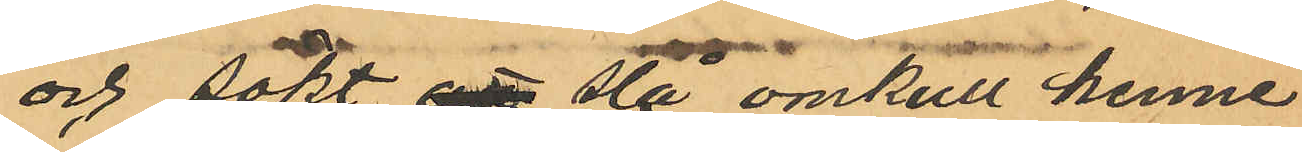och sökt att slå omkull henne
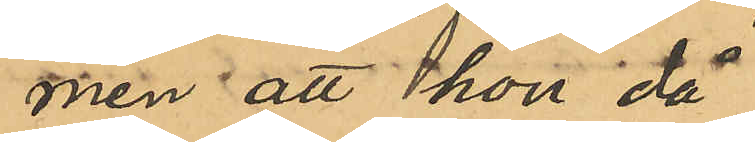men att hon då
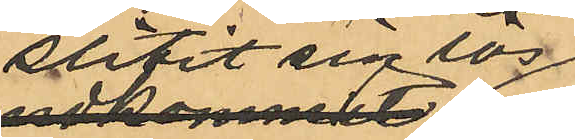slitit sig lös
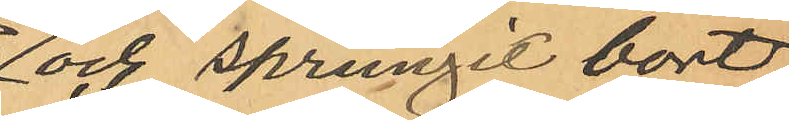och sprungit bort;
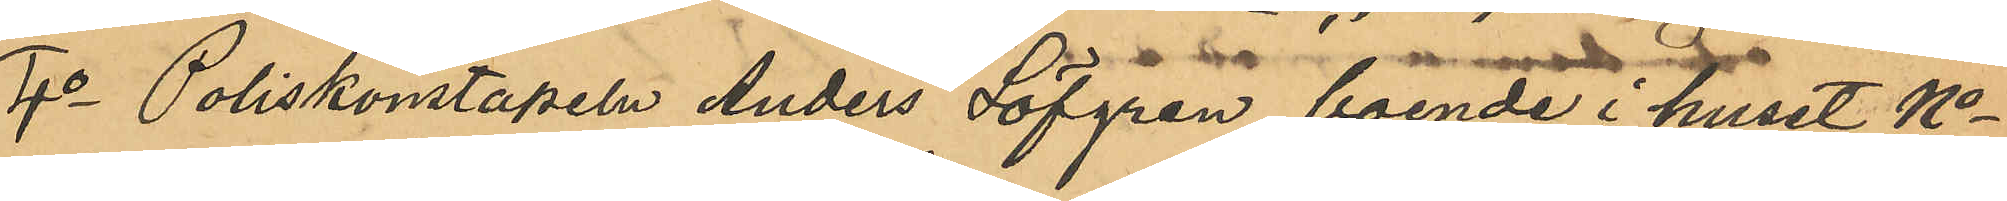4o Poliskonstapeln Anders Löfgren, boende i huset No
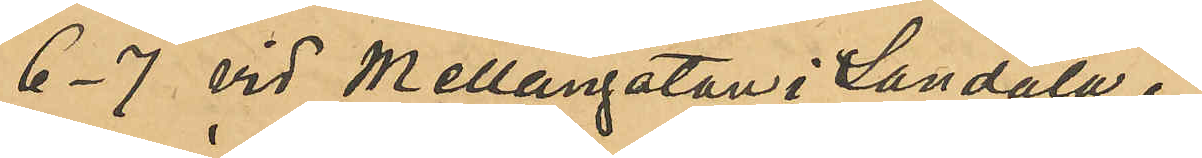6-7 vid Mellangatan i Landala,
